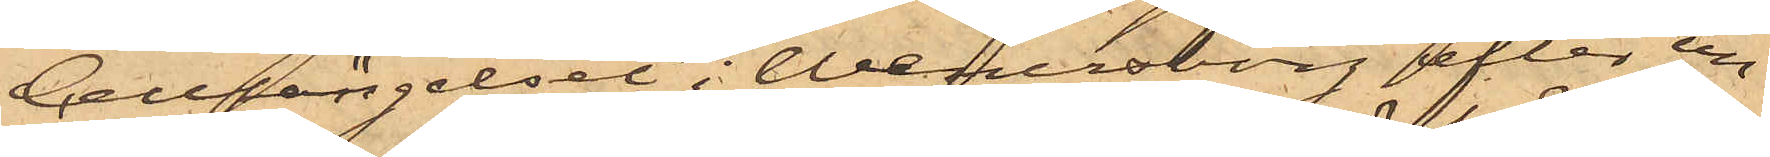Cellfängelset i Wenersborg efter un¬
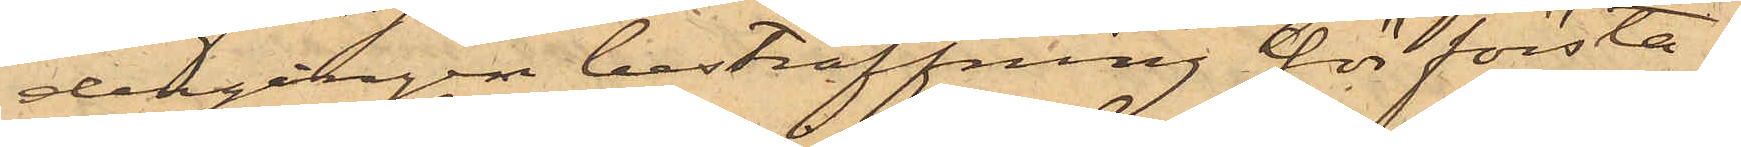dergången bestraffning för första
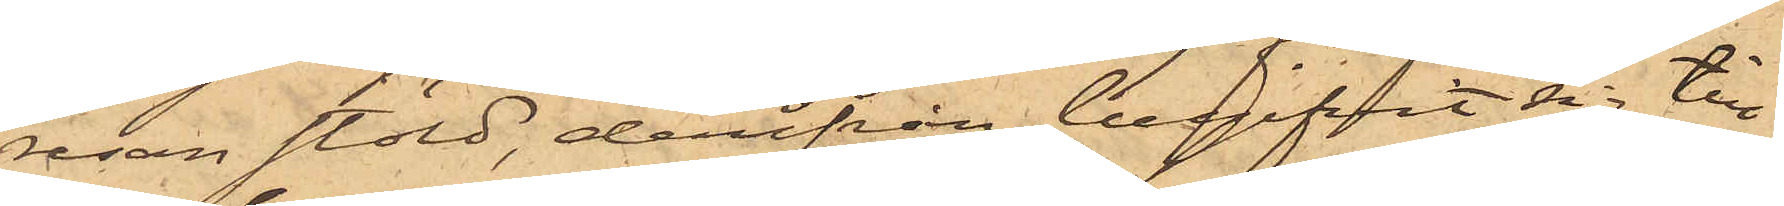resan stöld, derifrån begifvit sig till
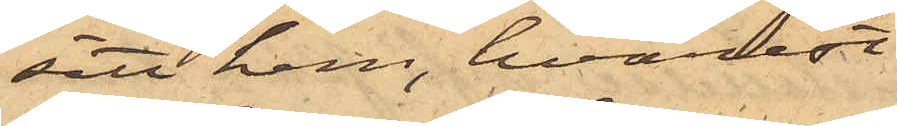sitt hem, hvarest
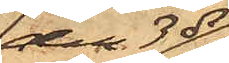den 3 ds
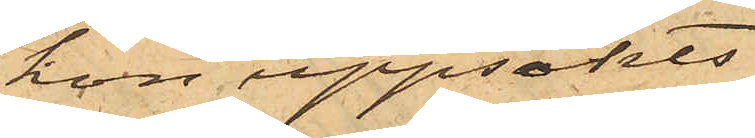hon uppsökts
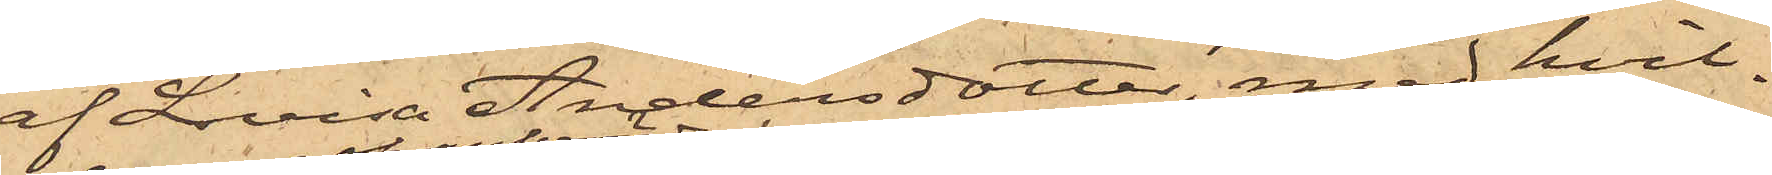af Lovisa Andersdotter, med hvil¬
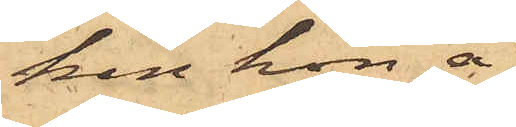ken hon å
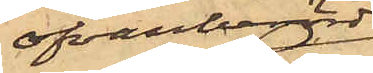ofvanberörd
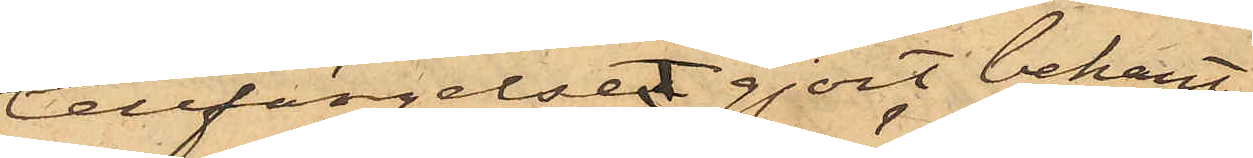Cellfängelset gjort bekant¬
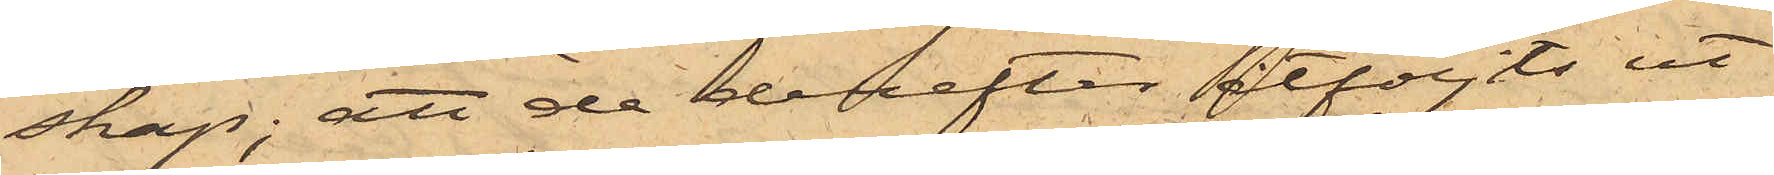skap; att de derefter åtföljts ut
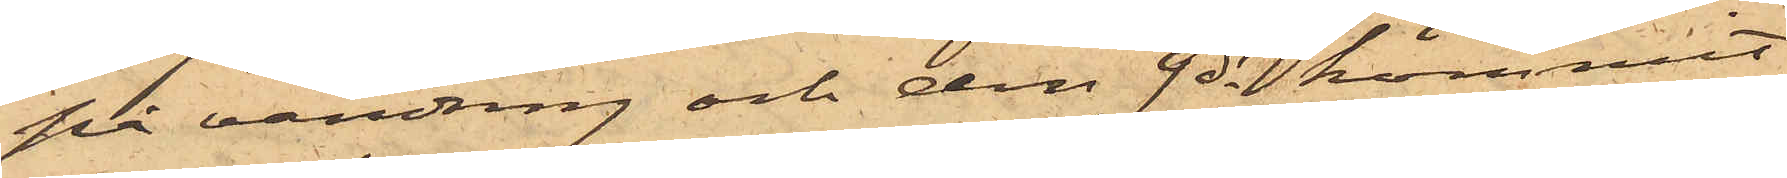på vandring och den 9 ds kommit
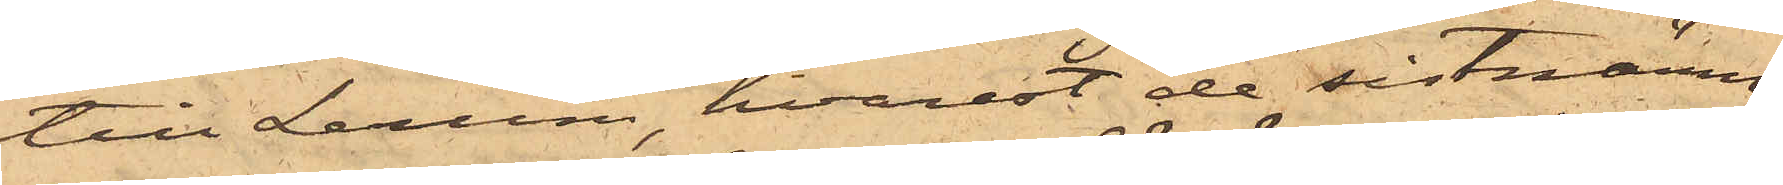till Lerum, hvarest de sistnämn¬
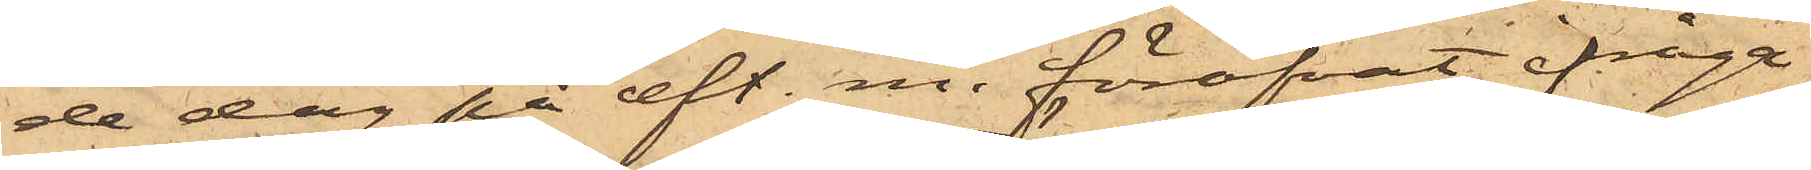de dag på eft. m. föröfvat ifråga¬
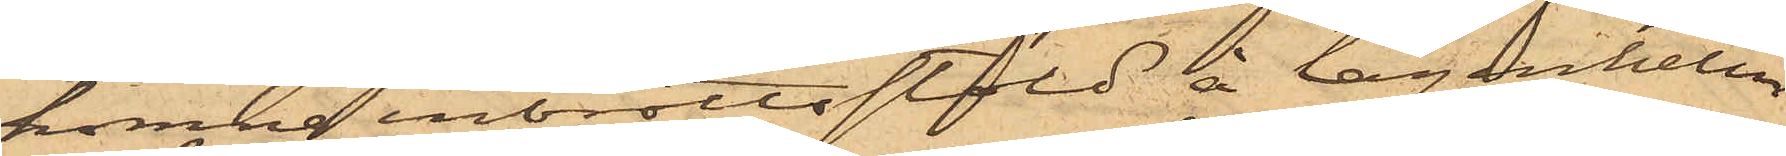komne inbrottsstöld å lägenheten
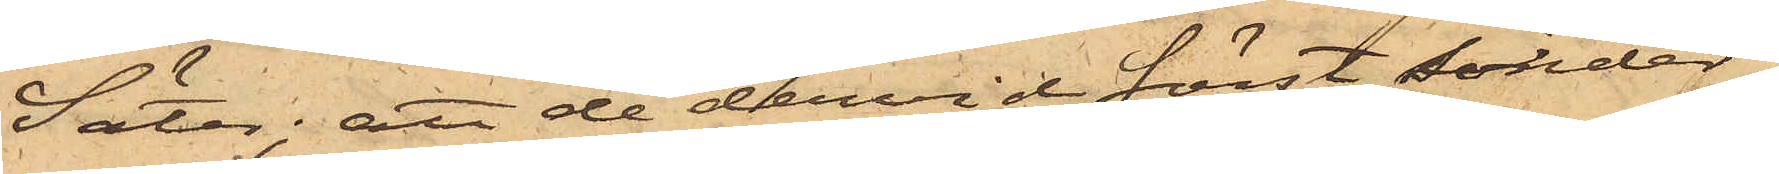Säter; att de dervid först sönder¬
